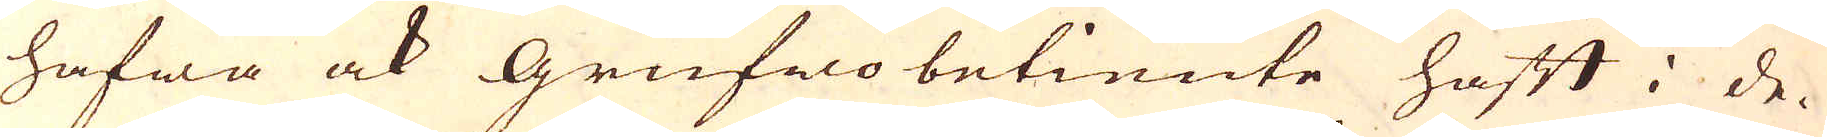hafwa ock Grufwo betiente haft i de-
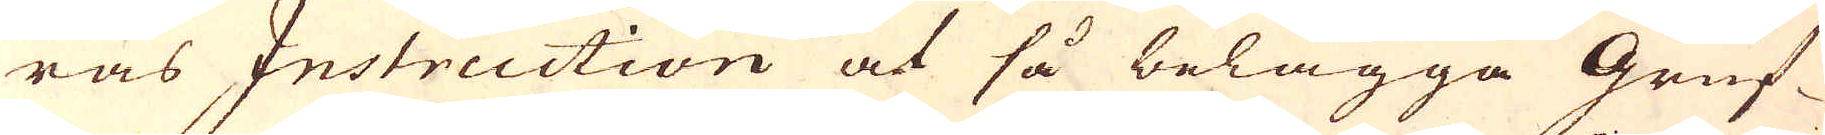ras Instruction at så belägga Gruf-
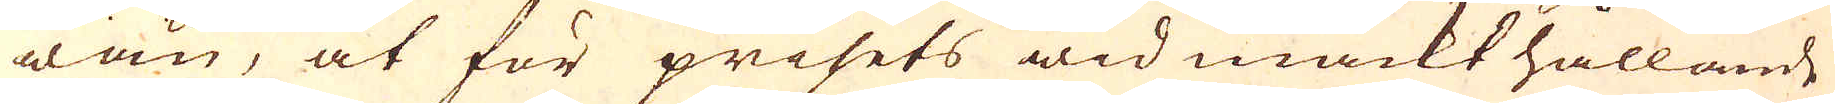wan, at för prisets wid mackt hållande
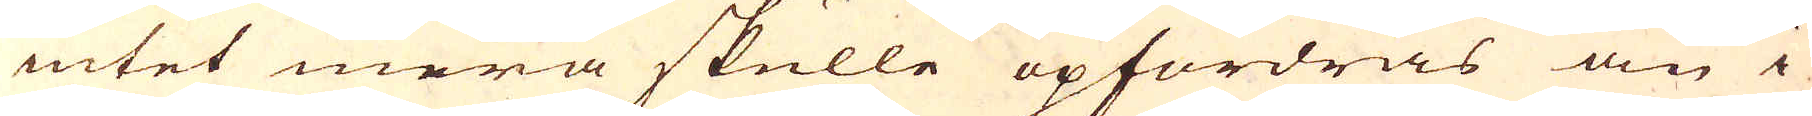intet mera skulle opfordras än i
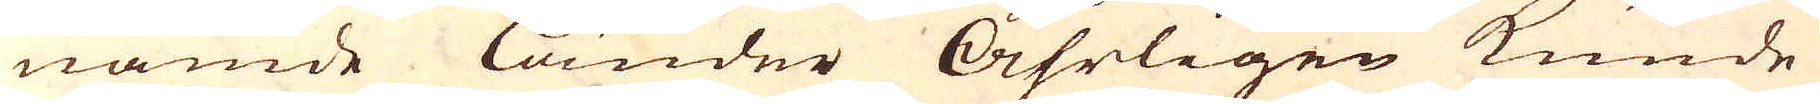nämde Länder Åhrligen kunde
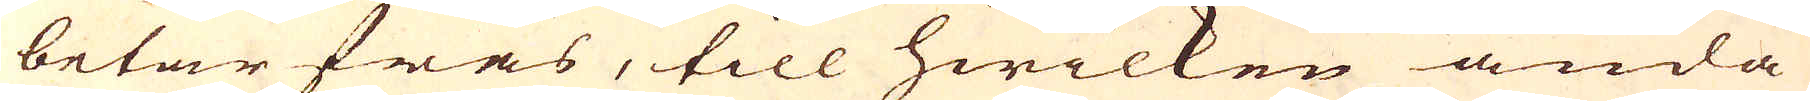betarfwas, till hwilken ända
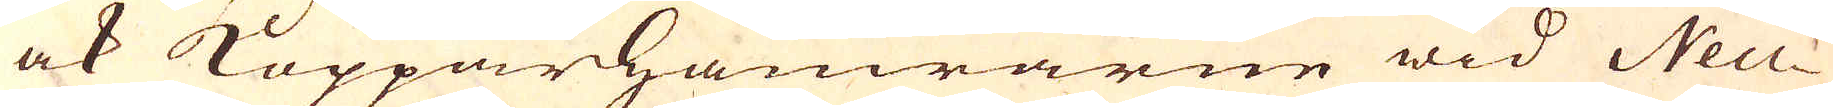ock Kopparhamrarne wid Neu-
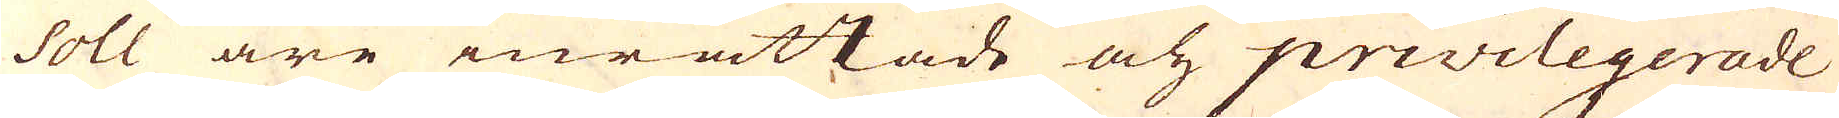soll äre inrättade åch privilegerade
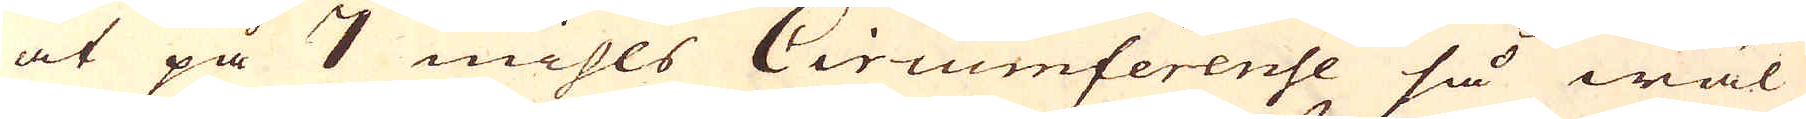at på 7 mihls Circumferense så wäl
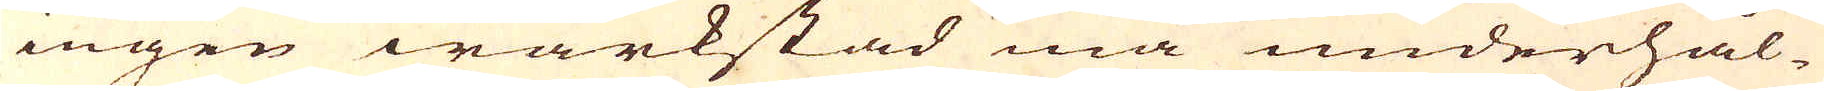ingen wärkstad må underhål-
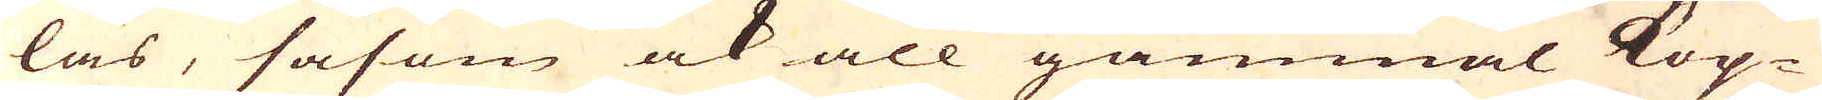las, såsom ock all gammal Kop-
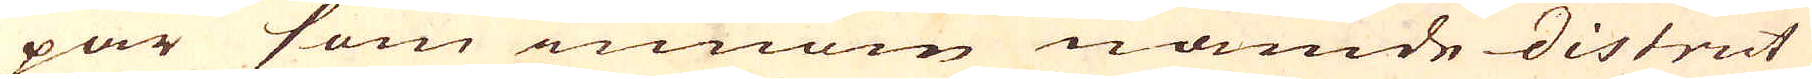par som innom nämde district
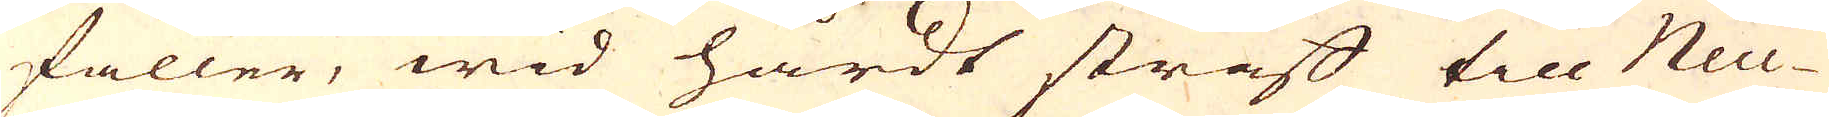faller, wid hårdt straff till Neu-
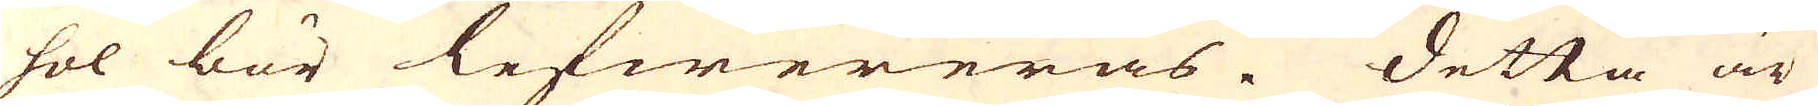sol bör lefwereras. Detta är
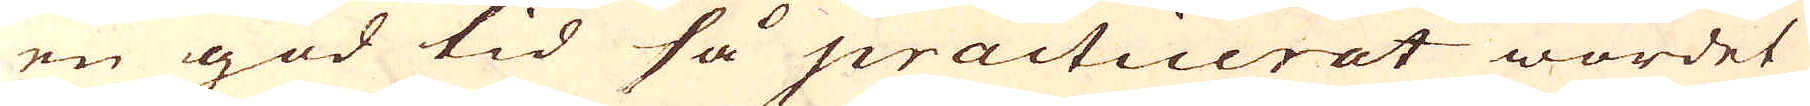en god tid så praetinerat wordet
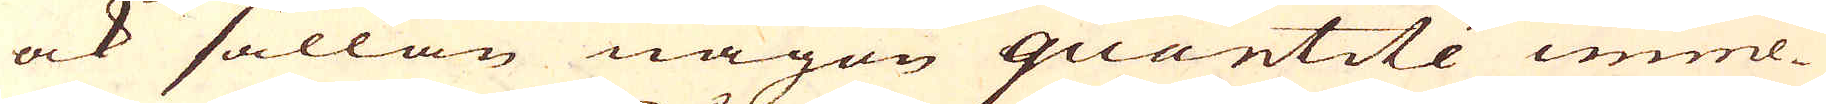ock sällan någon quantité imme-
